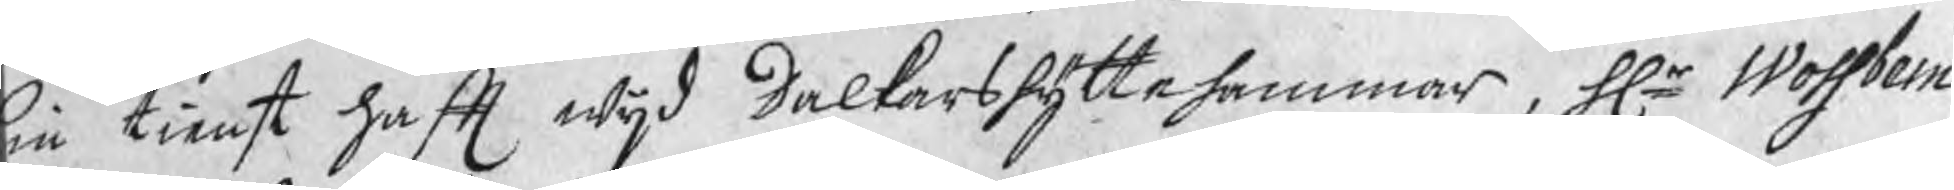sin tienst haft wijd Dalkarshyttehammar, Hr Wossbein
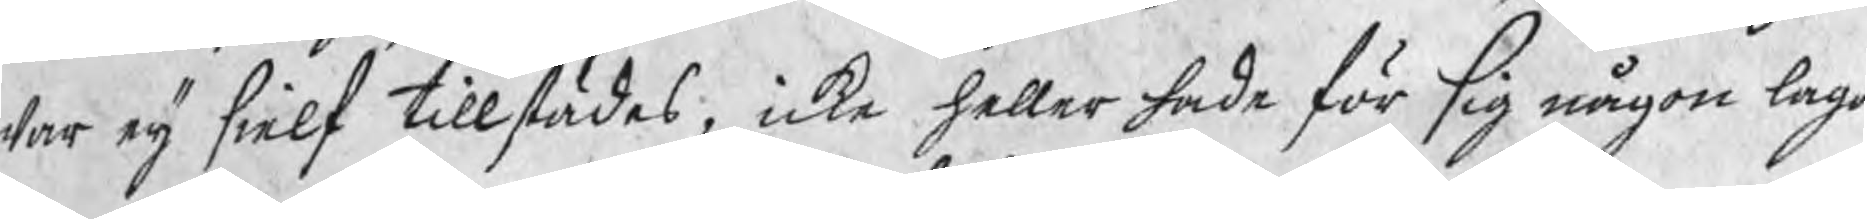war eij sielf tillstädes, icke heller hade för sig någon laga
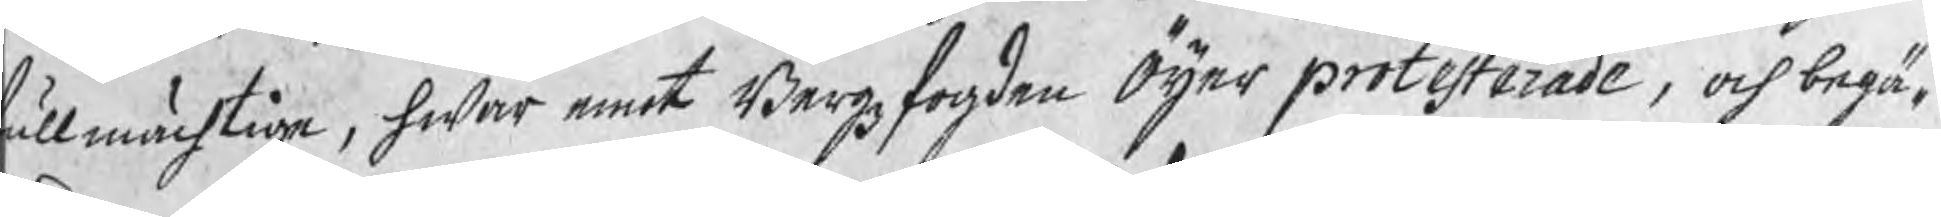fullmächtige, hwar emot Bergzfogden Öijer protesterade, och begä¬
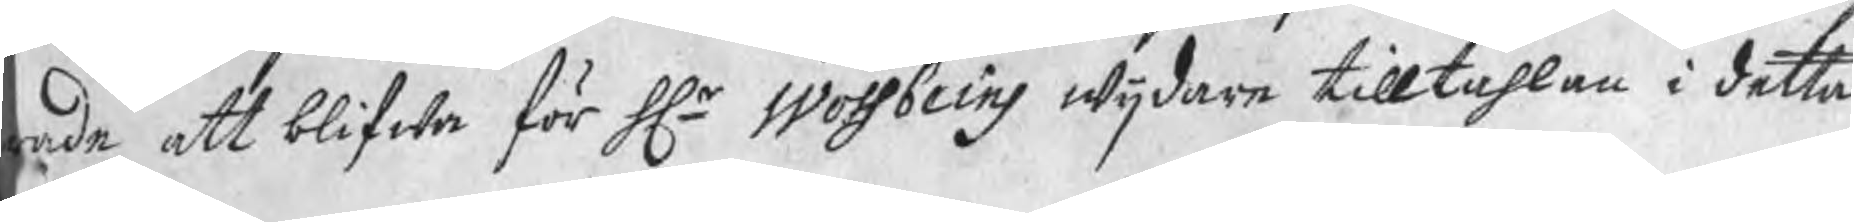ade att blifwa för Hr Wossbeins wijdare tilltahlan i detta
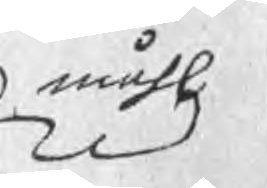måhl
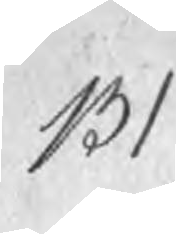131
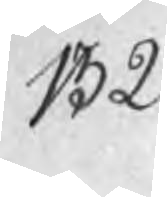132
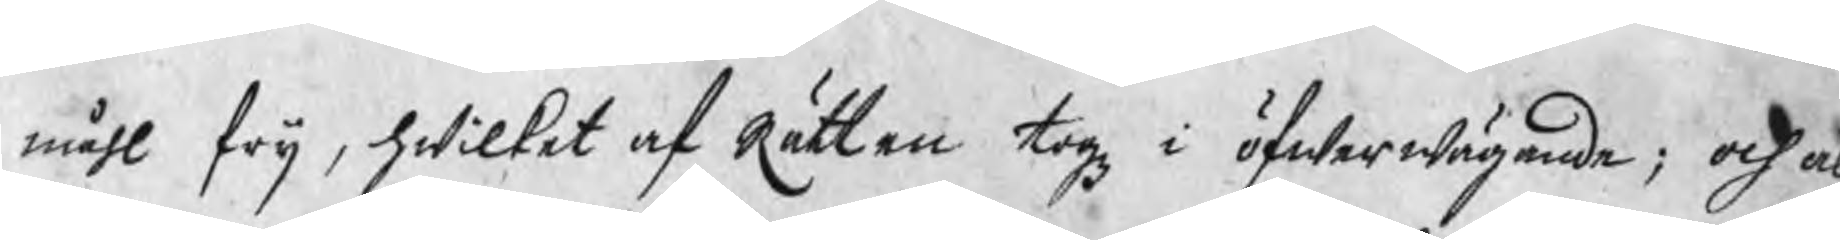måhl frij, hwilket af Rätten togz i öfwerwägande; och al
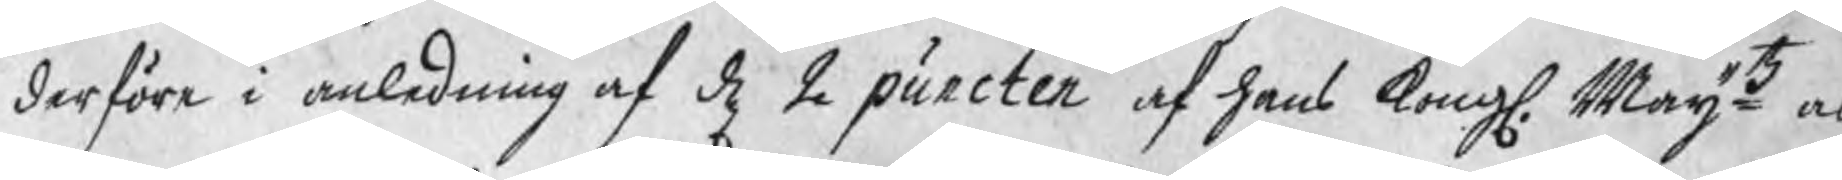derföre i anledning af d 2 puncten af hans Kongl. Maijtz al
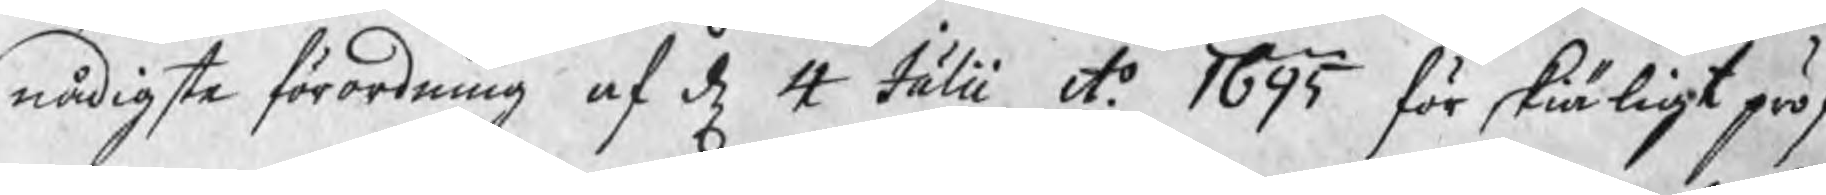nådigste förordning af d 4 Julii Ao 1695 för skiäligt pröf¬
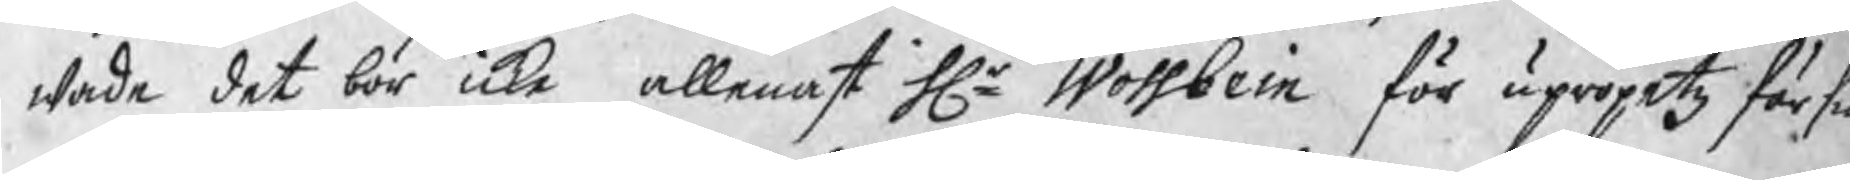wade det bör icke allenast Hr Wossbein för upropetz försu
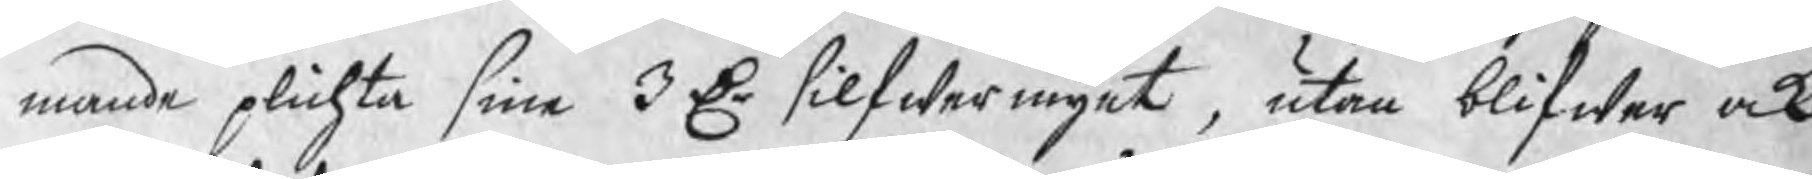mande plichta sine 3 Dr silfwermynt, utan blifwer ock
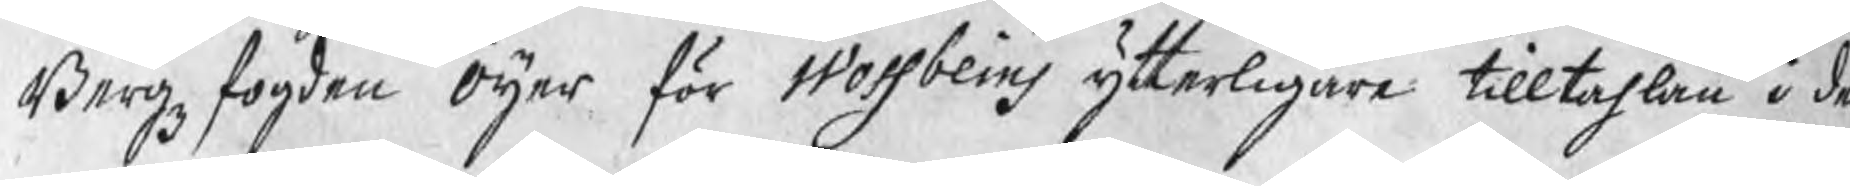Bergzfogden Öijer för Wossbeins ytterligare tilltahlan i de
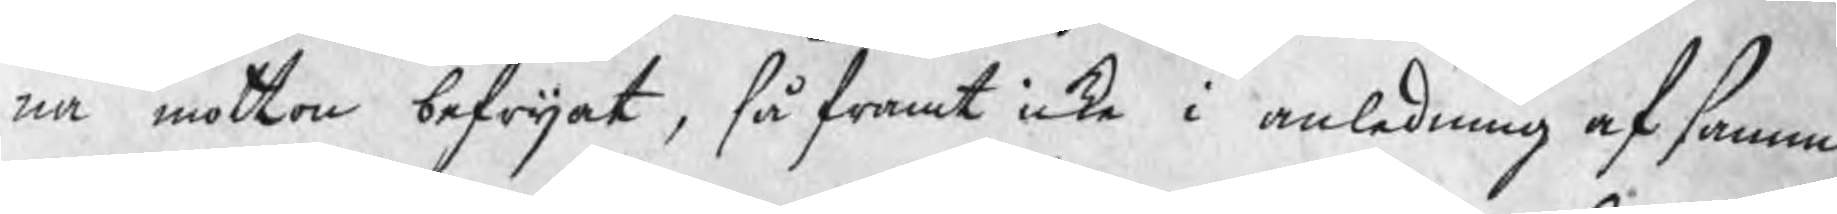na motto befrijat, så framt icke i anledning af samma
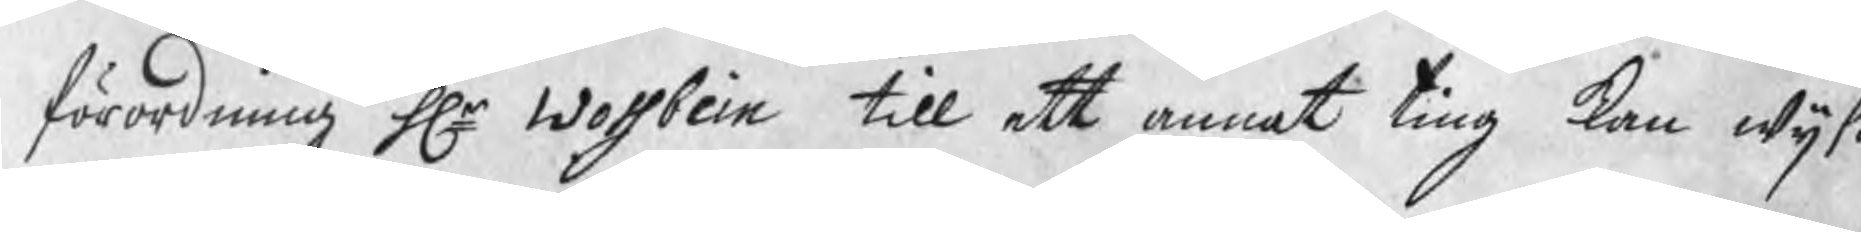förordning Hr Wossbein till ett annat ting kan wijsa
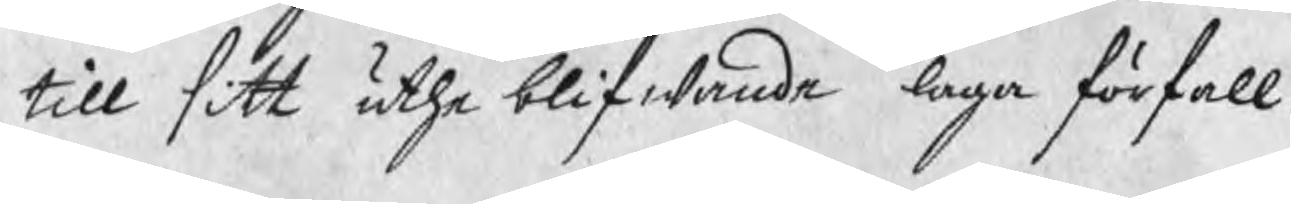till sitt uthe blifwande laga förfall.
